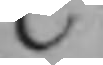C.
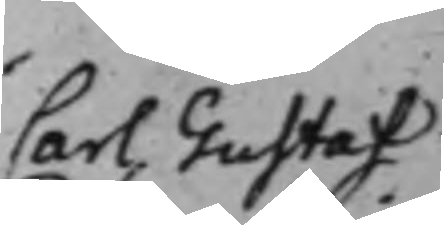Carl Gustaf
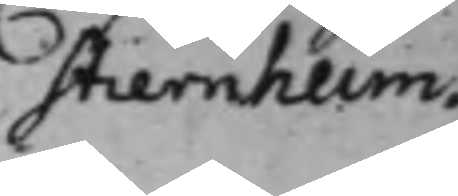Stiernheim.
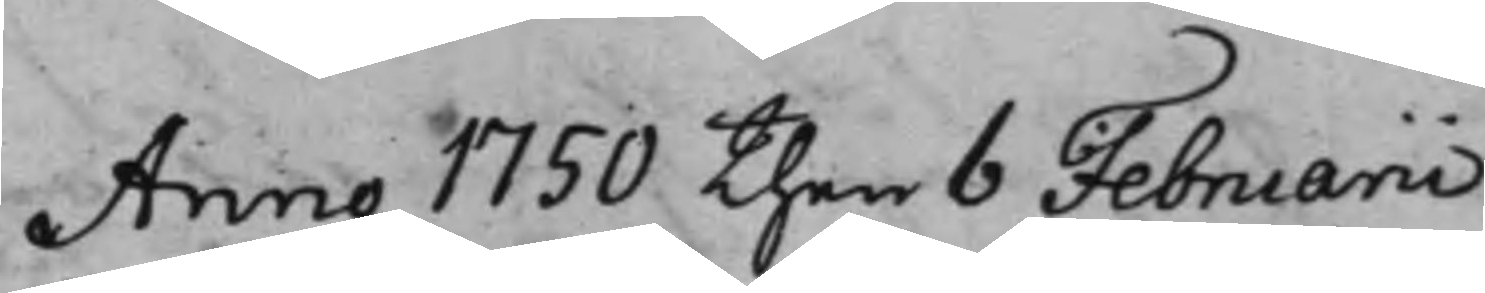Anno 1750 then 6 Februarii
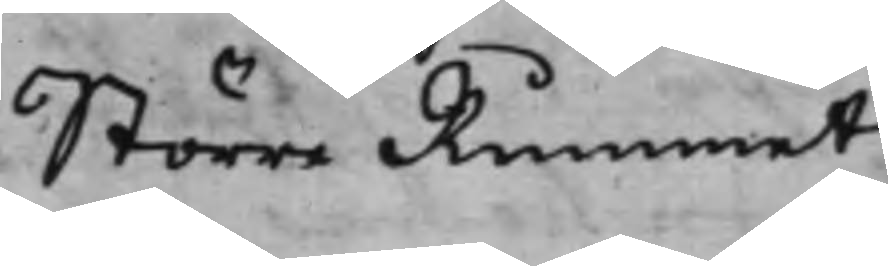Större Rummet
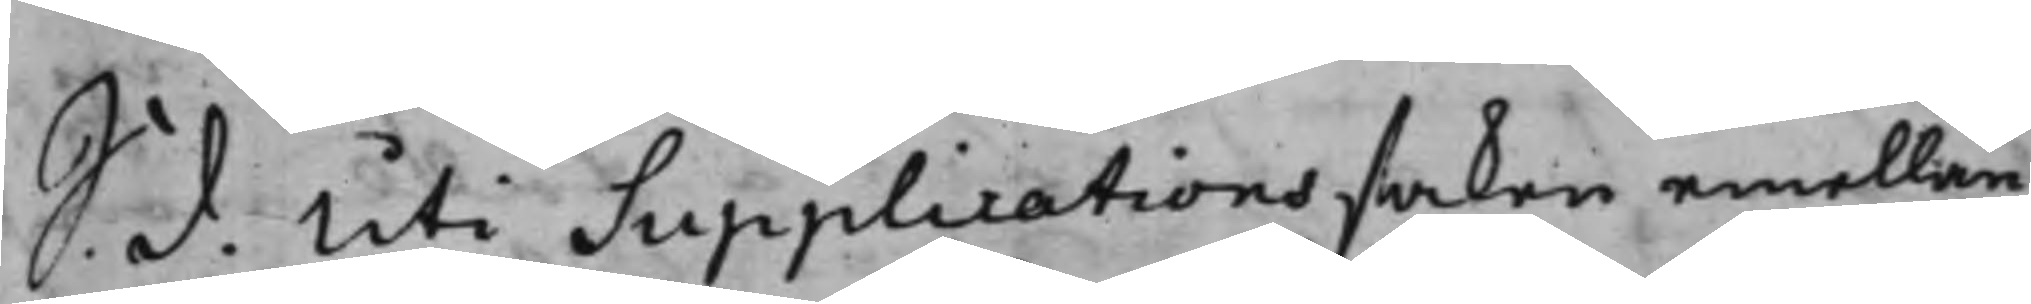S. d. Uti Supplicationssaken emellan
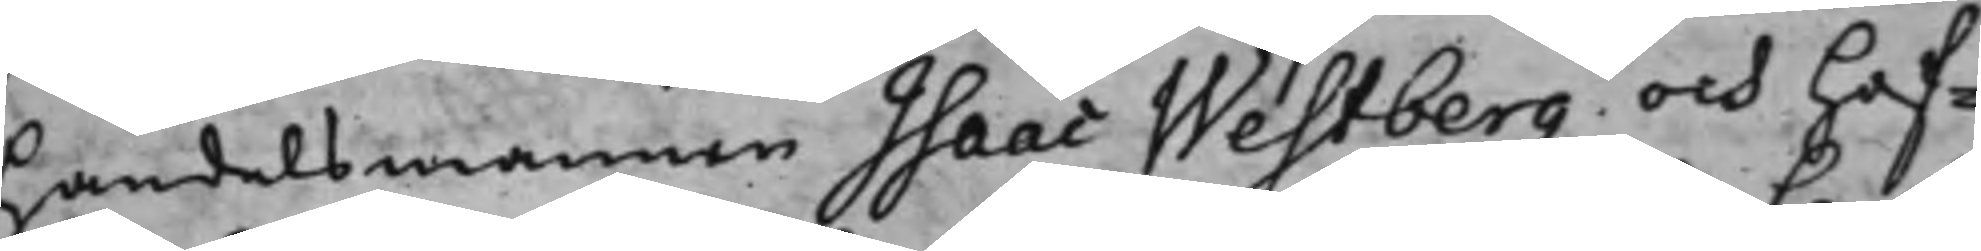handelsmannen Isaac Westberg och Hof¬
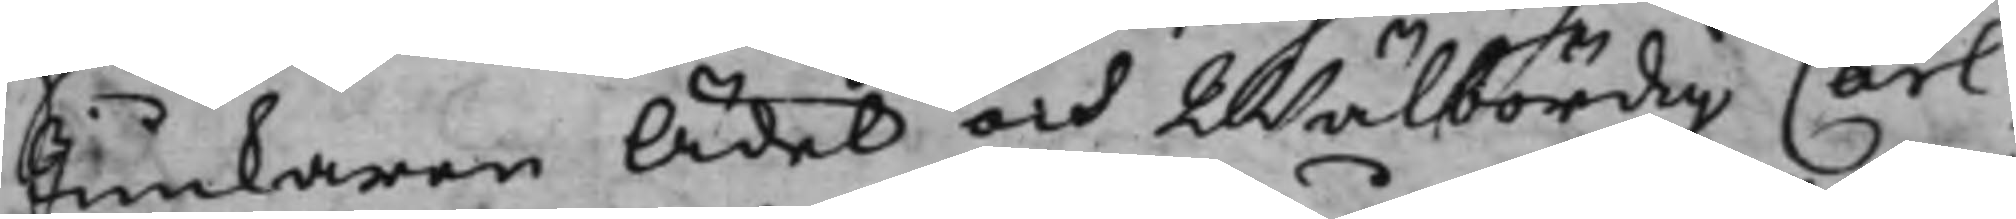Junkaren Ädel och Wälbördig Carl
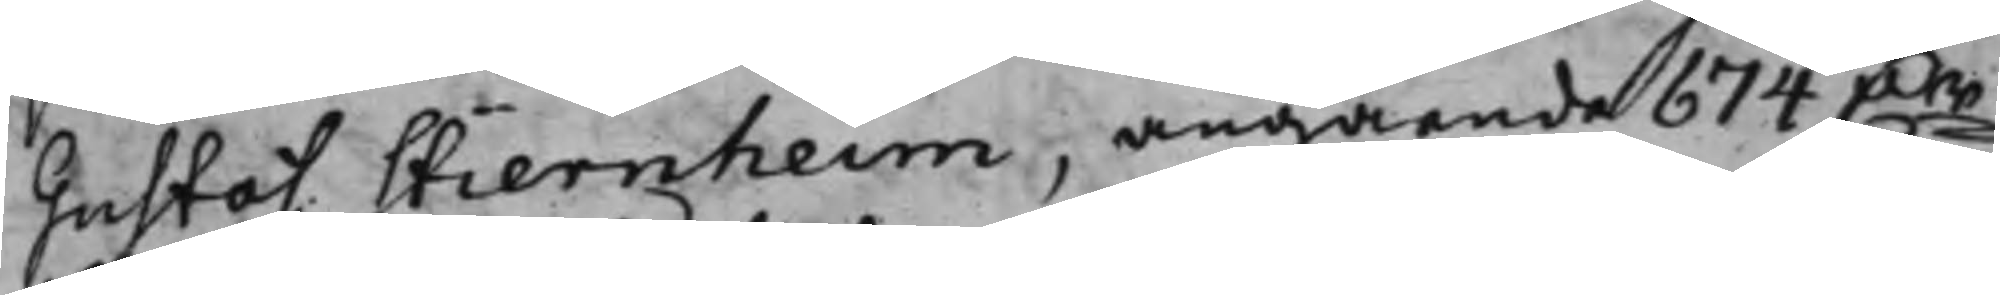Gustaf Stiernheim, angående 674 Dr
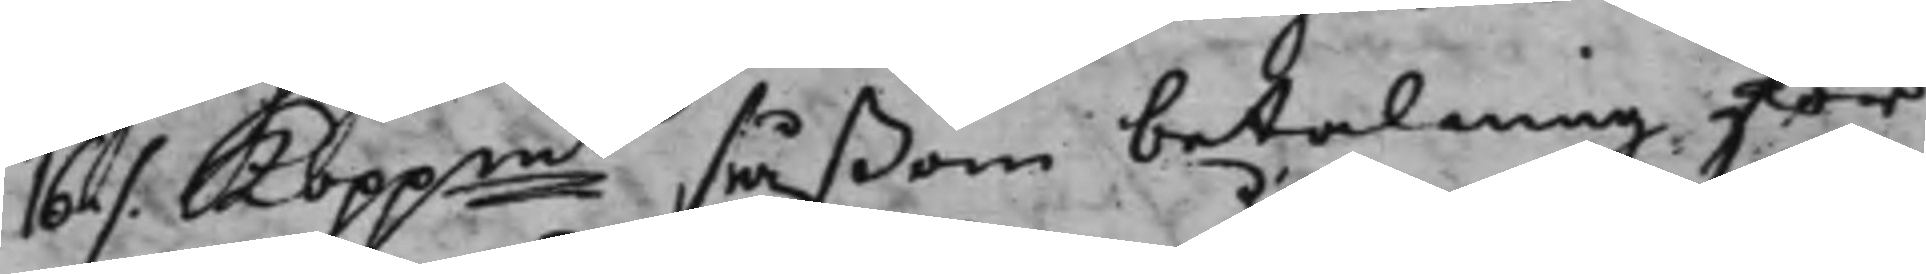16 ./. Koppmt såßom betalning för
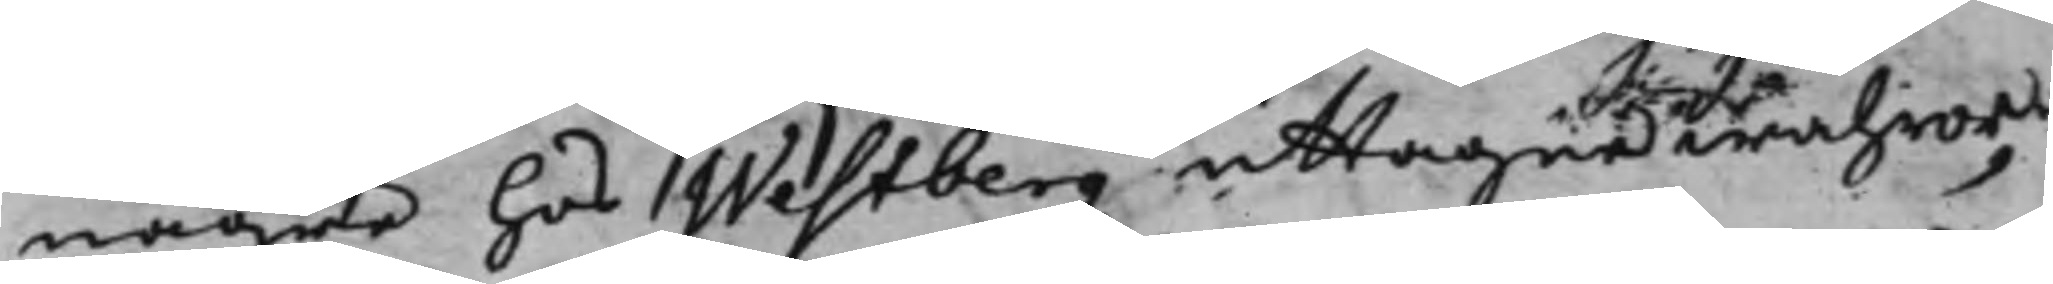någre hos Westberg uttagne wahror,
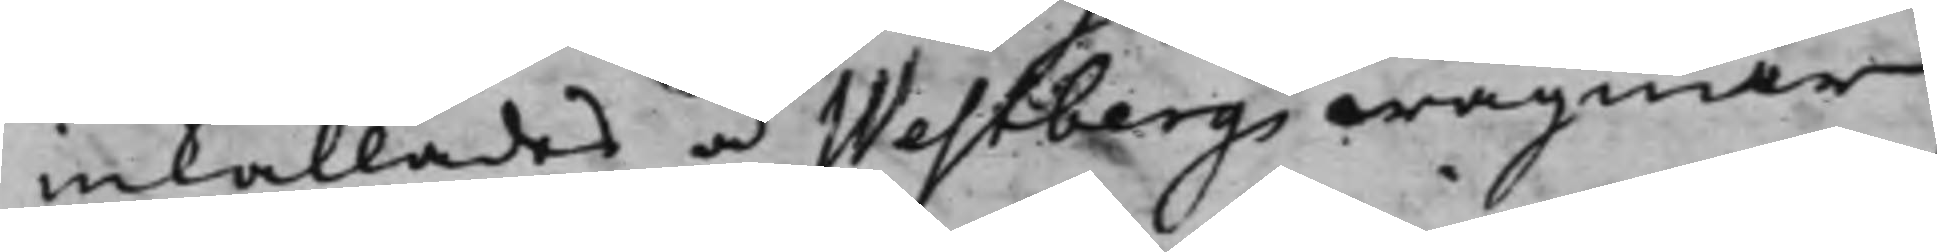inkallades å Westbergs wägnar
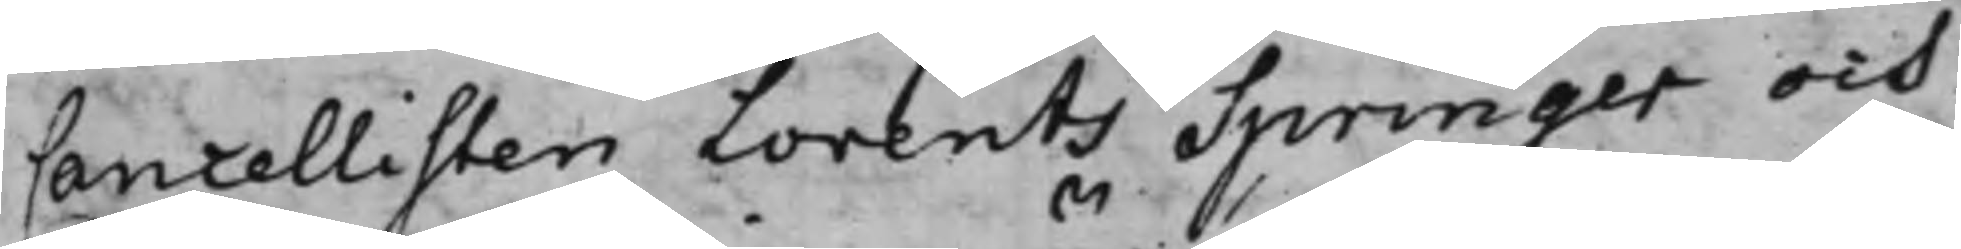Cancellisten Lorents Springer och
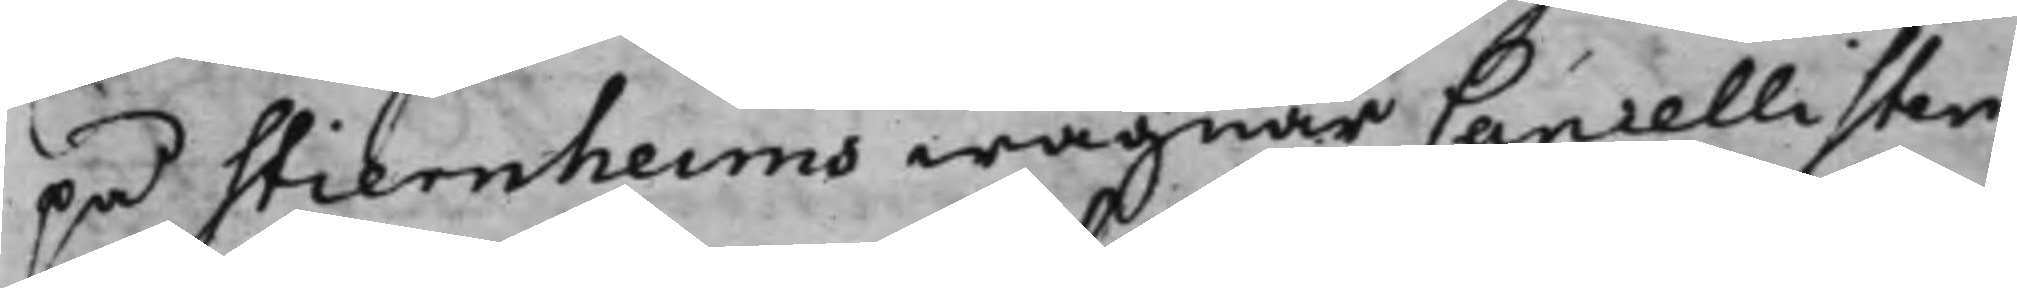på Stiernheims wägnar Cancellisten
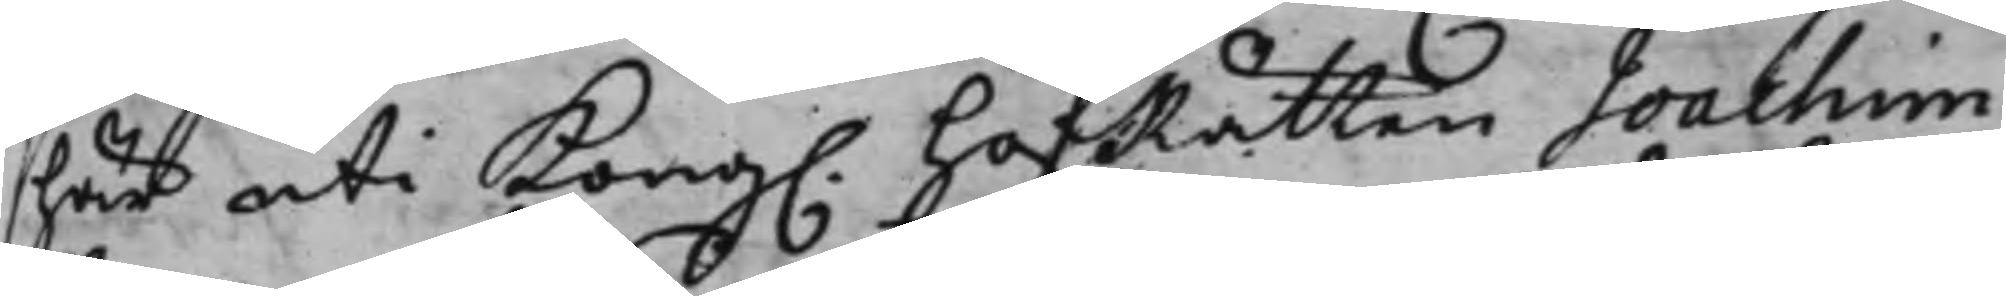här uti Kong. HofRätten Joachim
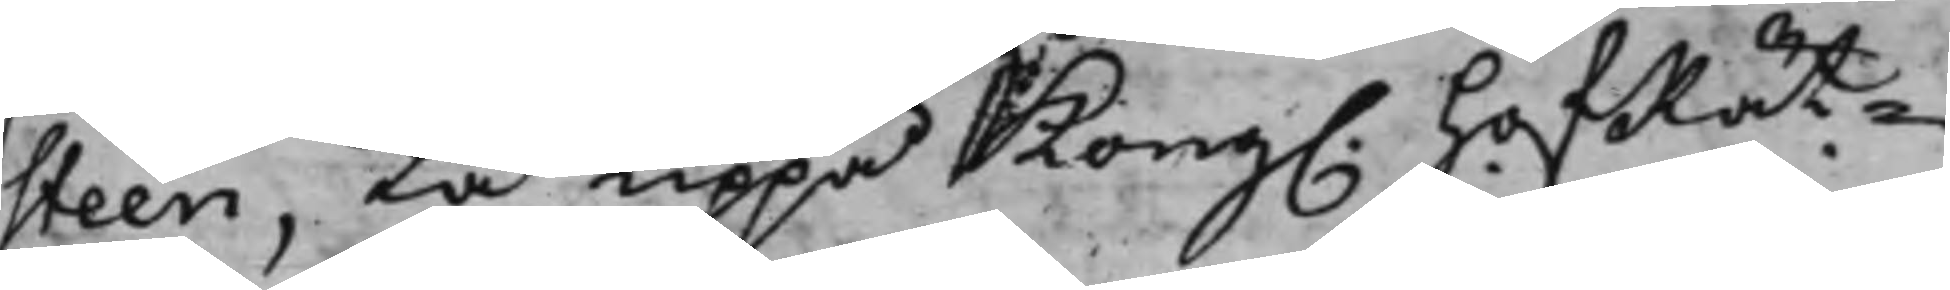Steen, tå uppå Kong. HofRät¬
